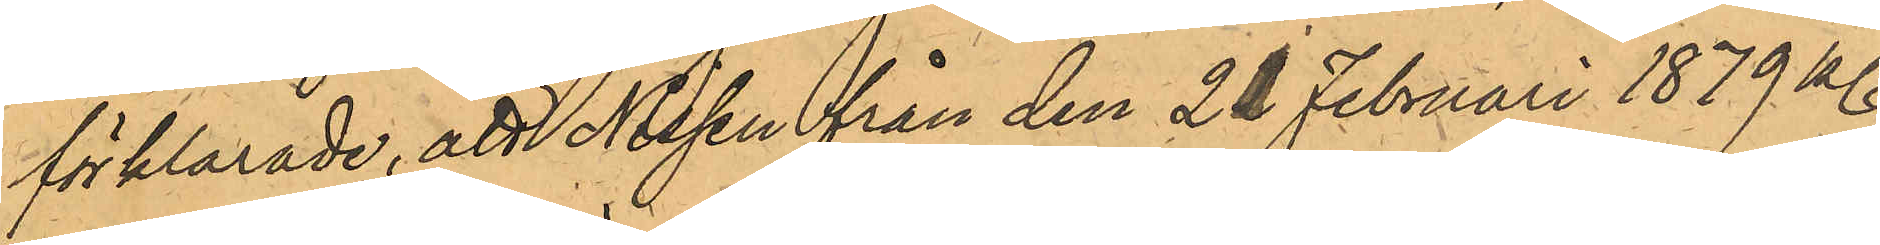förklarade, att Nissen från den 21 Februari 1879 kl.
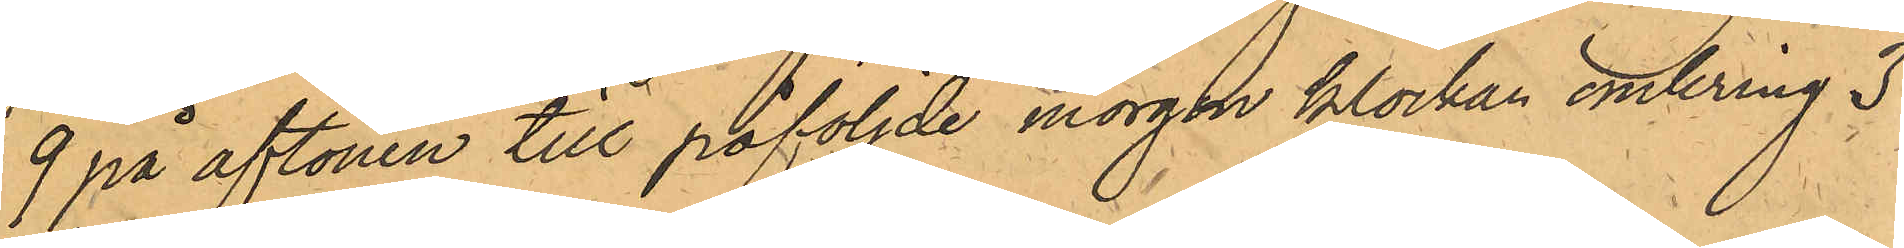9 på aftonen till påföljde morgon klockan omkring 3
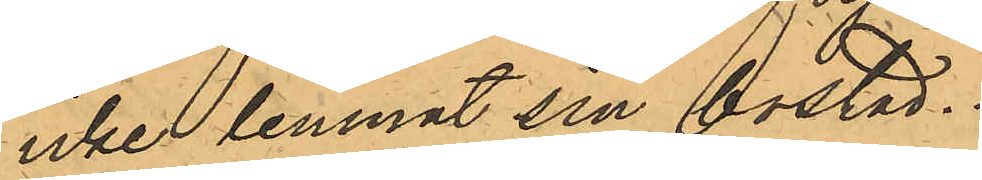icke lemnat sin bostad.
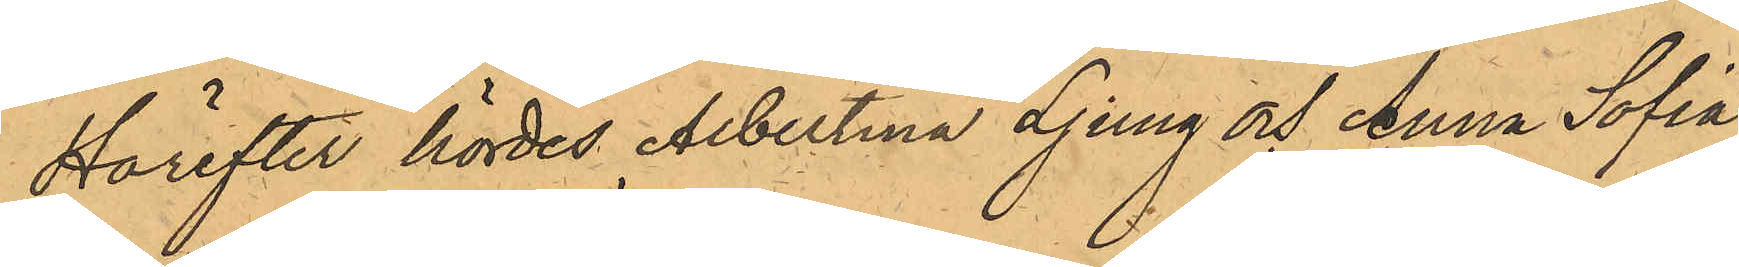Härefter hördes Albertina Ljung och Anna Sofia
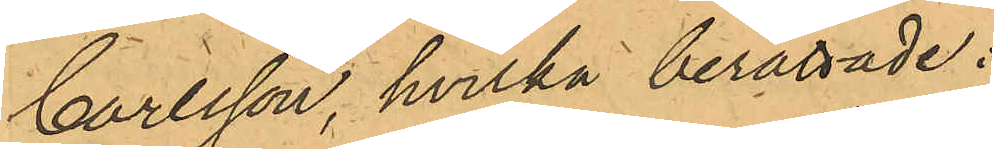Carlsson, hvilka berättade:
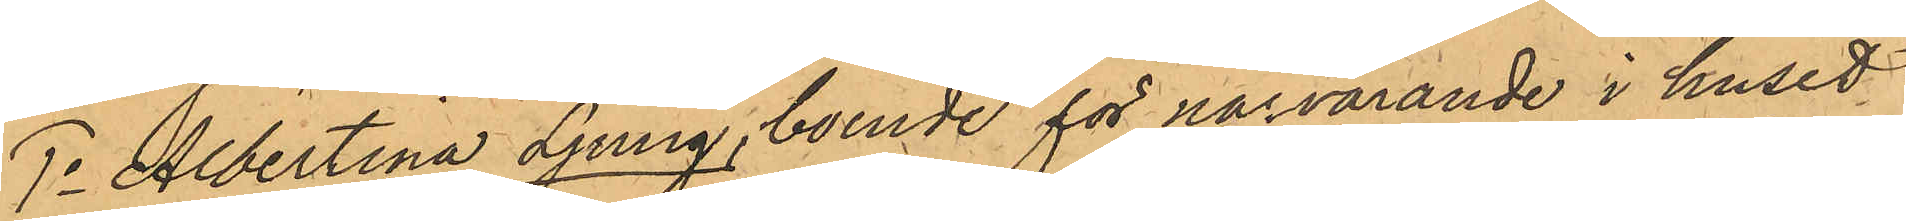1o Albertina Ljung, boende för närvarande i huset
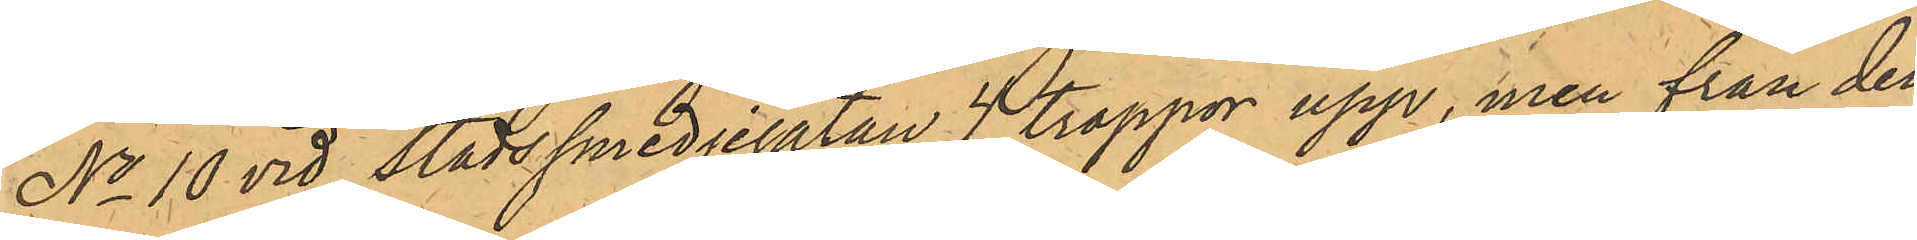No 10 vid Stadssmedjegatan 4 trappor upp, men från den
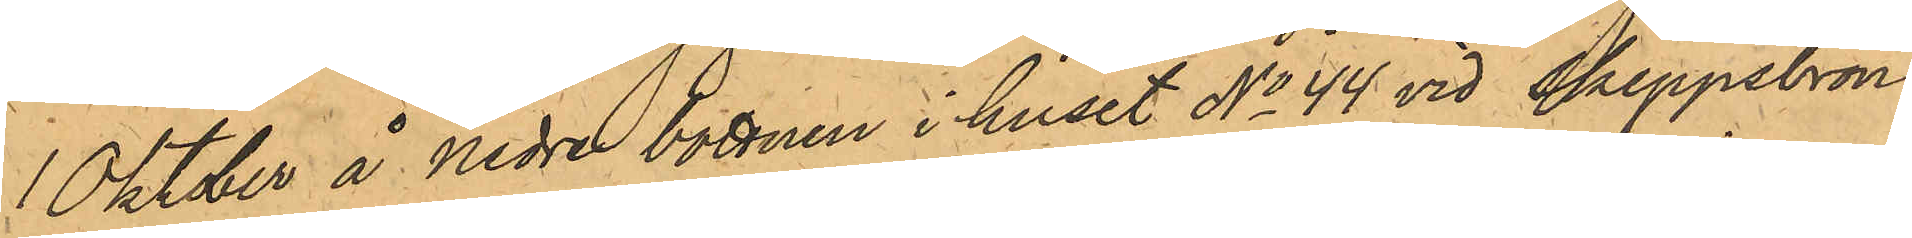1 Oktober å Nedre bottnen i huset No 44 vid Skeppsbron:
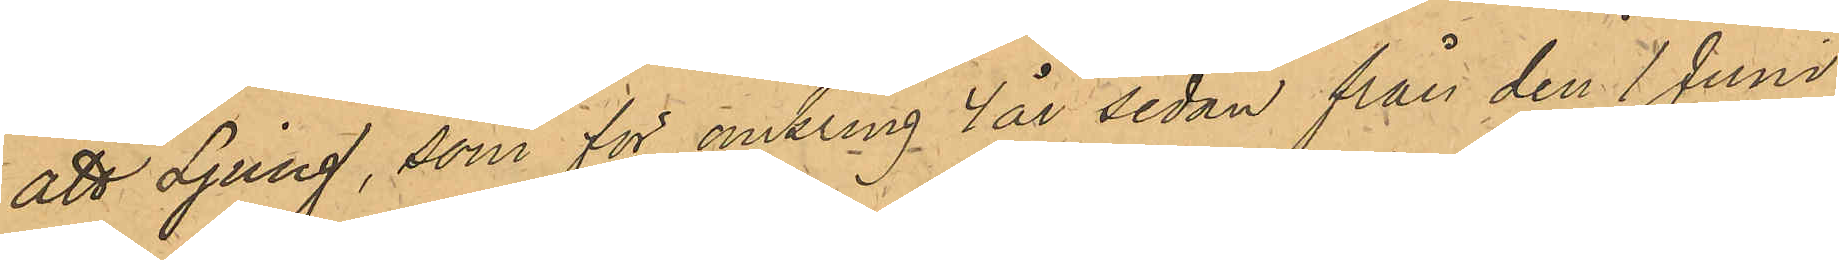att Ljung, som för omkring 4 år sedan från den 1 Juni
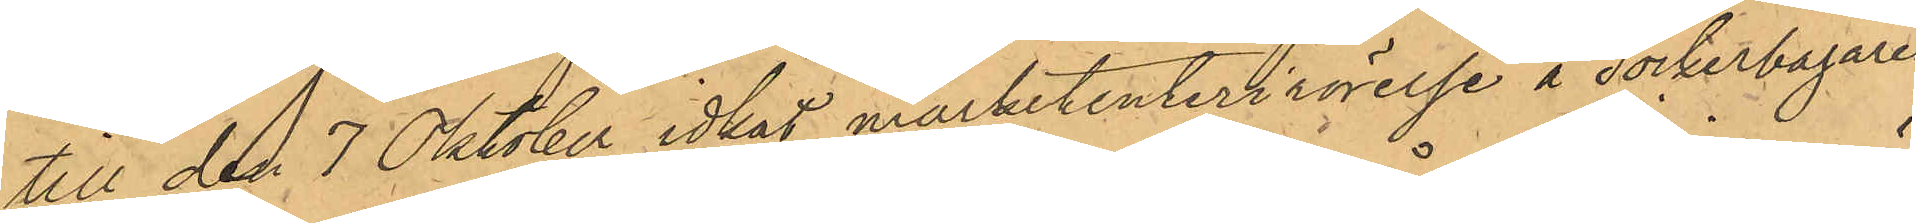till den 7 Oktober idkat marketenterirörelse å sockerbagaren
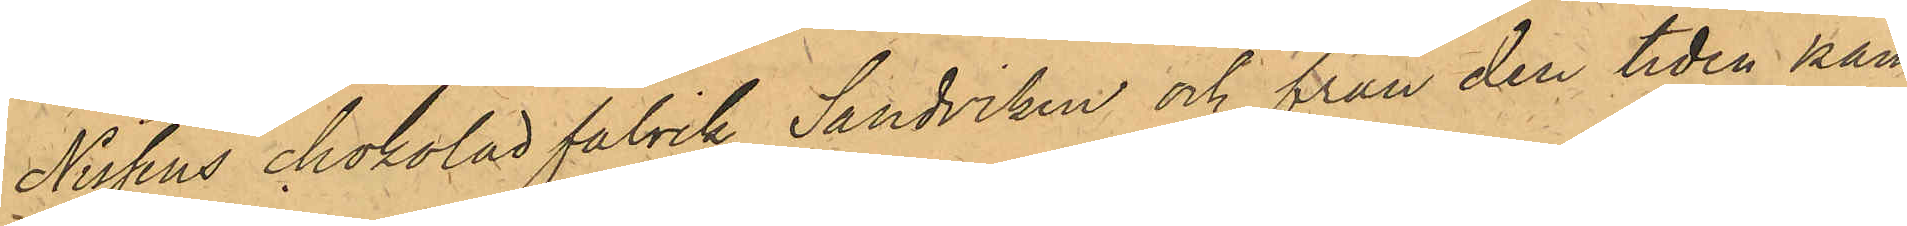Nissens chokolad fabrik Sandviken och från den tiden kän¬
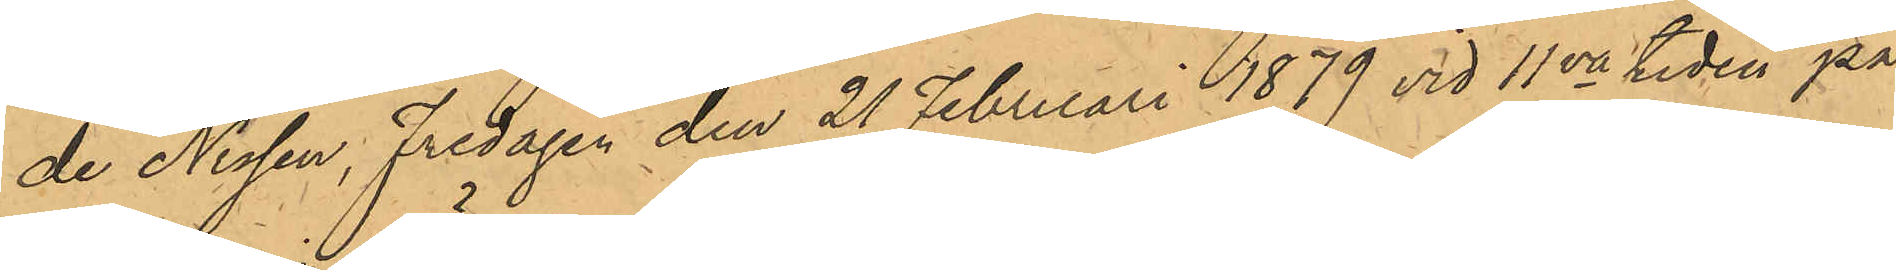de Nissen, Fredagen den 21 Februari 1879 vid 11va tiden på
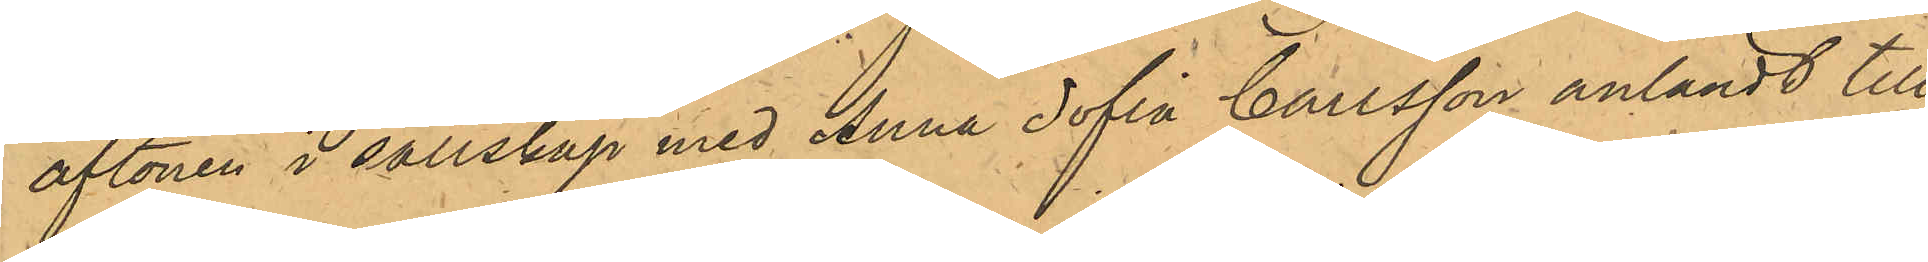aftonen i sällskap med Anna Sofia Carlsson anländt till
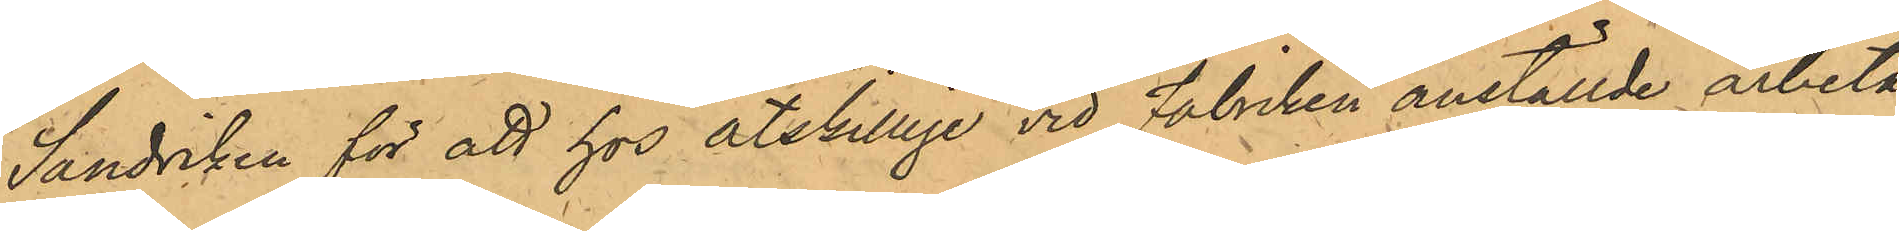Sandviken för att hos åtskillige vid Fabiken anställde arbeta¬
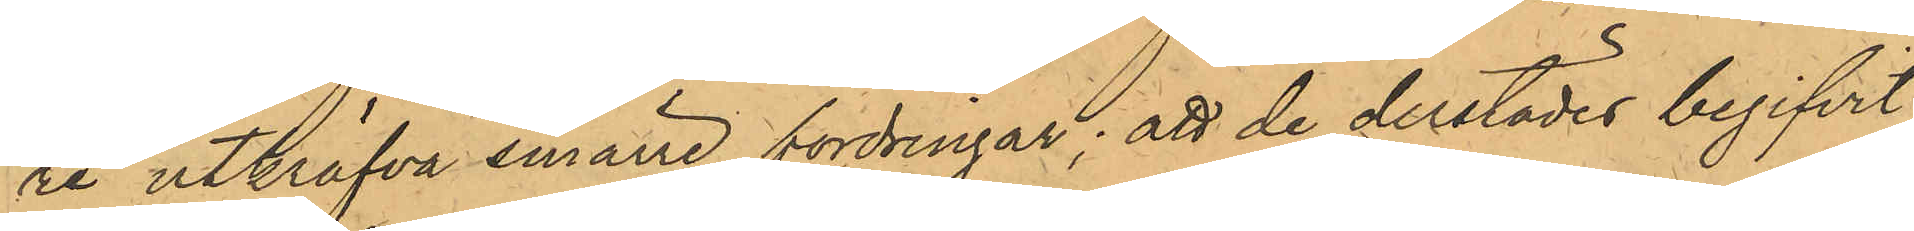re utkräfva smärre fordringar; att de derstädes begifvit
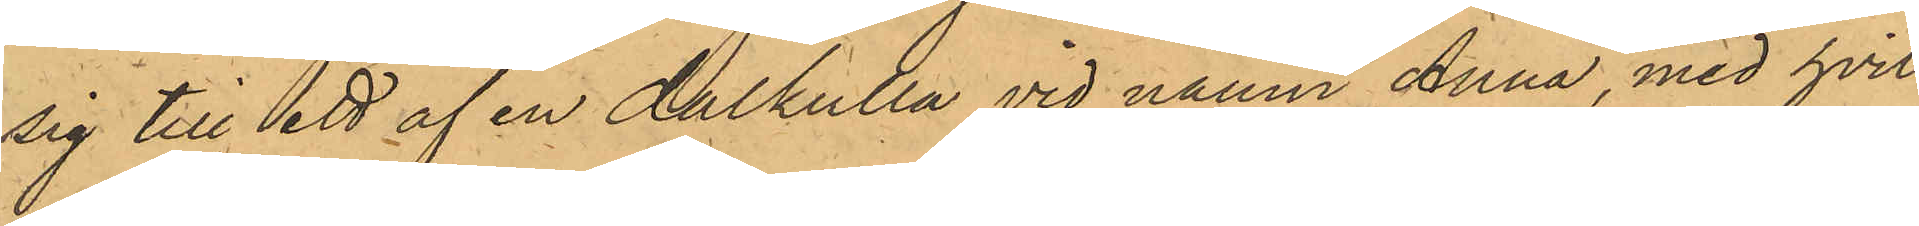sig till ett af en dalkulla vid namn Anna, med hvil¬
